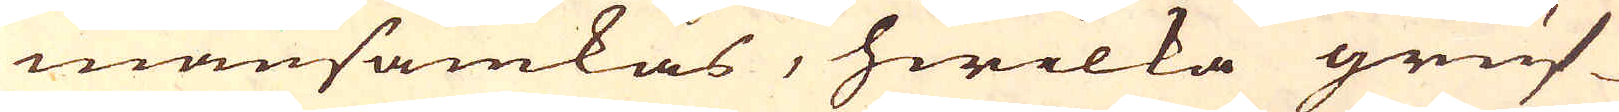mansamkas, hwilka gruf-
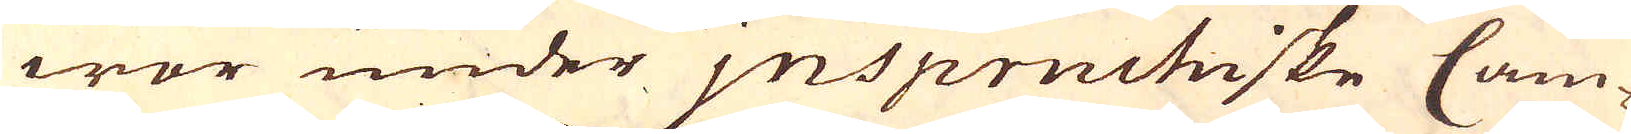wor under jnspruchiske Cam-
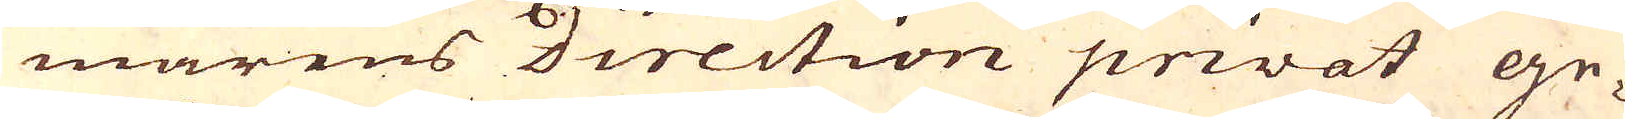marens direction privat ge-
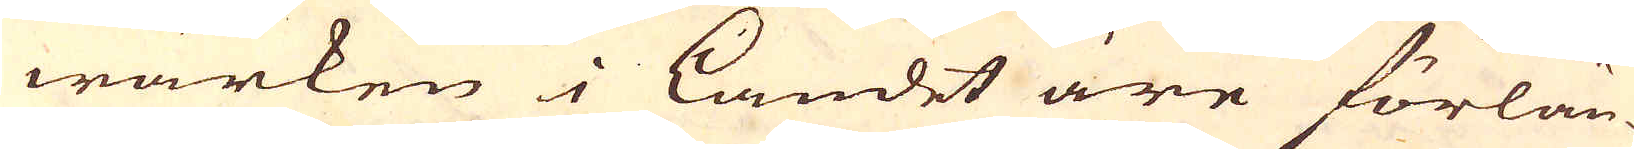wärken i Landet äre förlän-
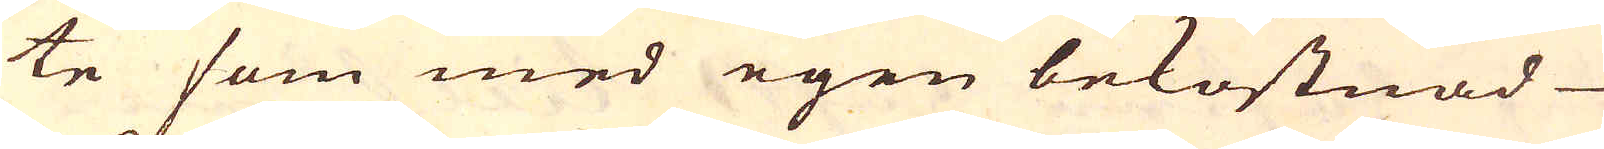te som med egen bekostnad
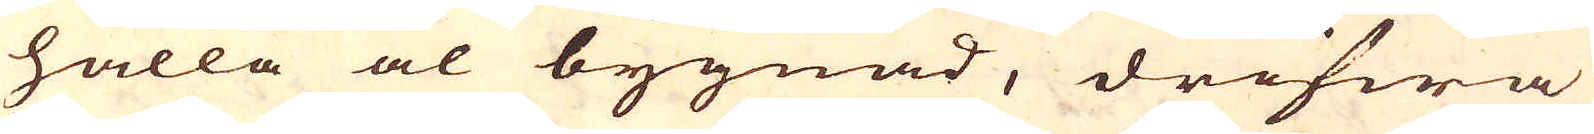hålla al bygnad, drifwa
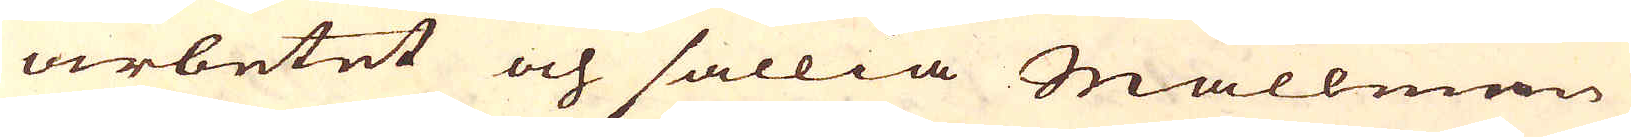arbetet och sällia Mallmen
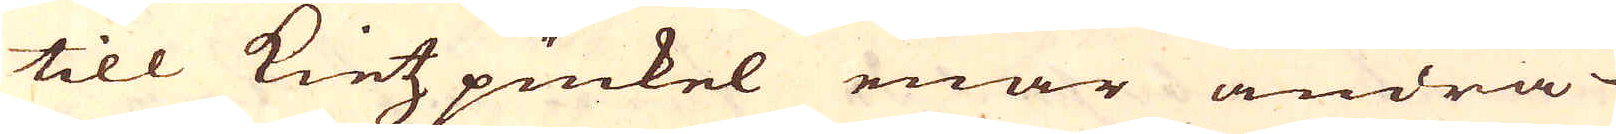till Kietzpuckel enär andra
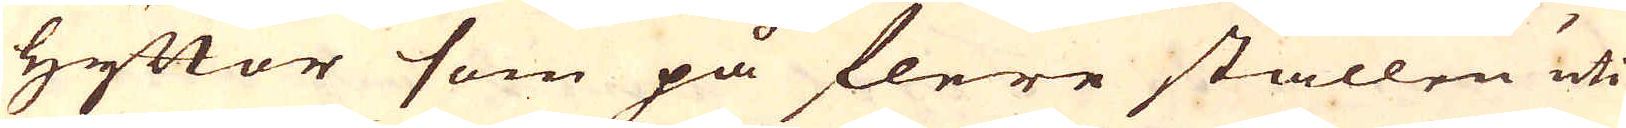Hyttor som på flere ställen uti
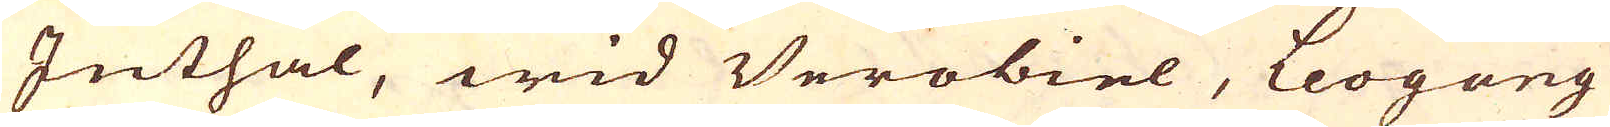Jnthal, wid Verobiel, Leogang
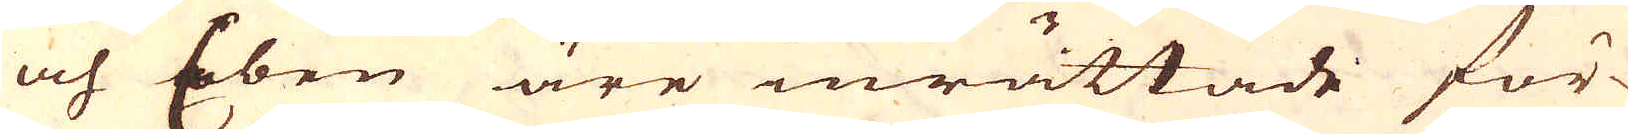och Eben äre inrättade för-
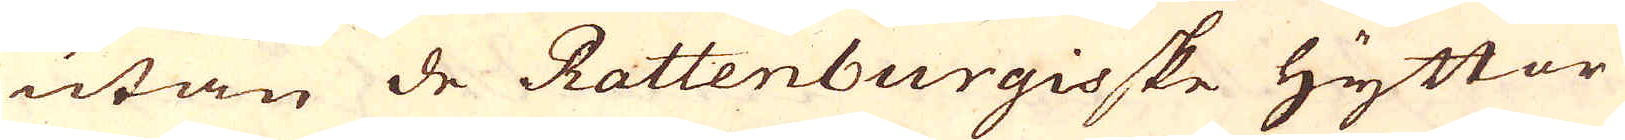utan de Rattenburgisske hyttor
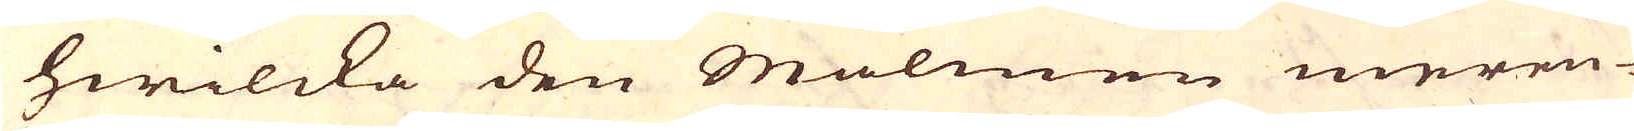hwilcka den Malmen meren-
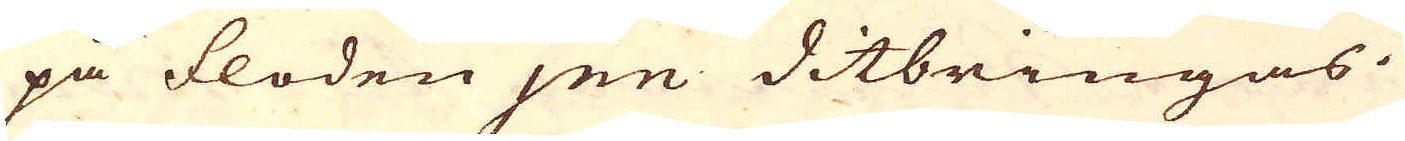på floden Jnn ditbringas.
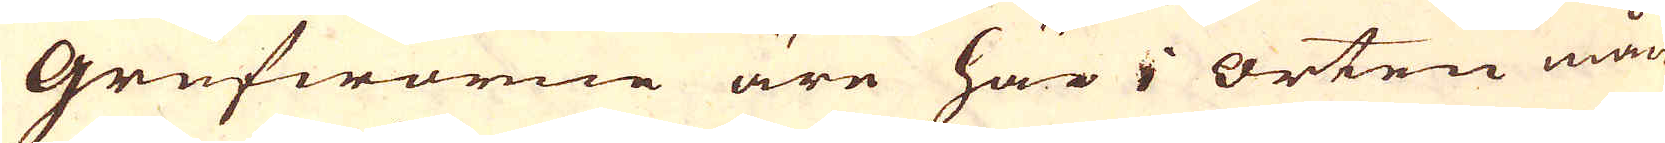Grufworne äre här i orten mån-
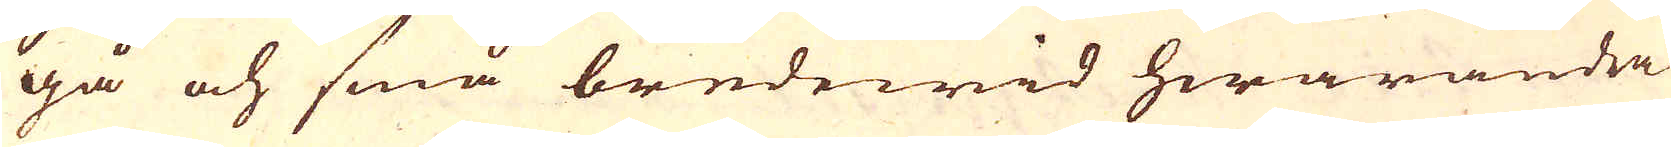gå och små bredewid hwarandra
